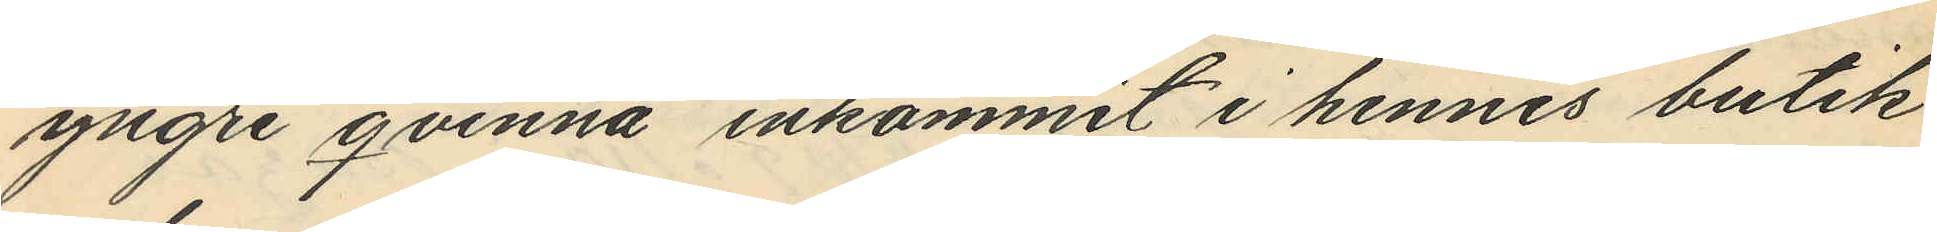yngre qvinna inkommit i hennes butik
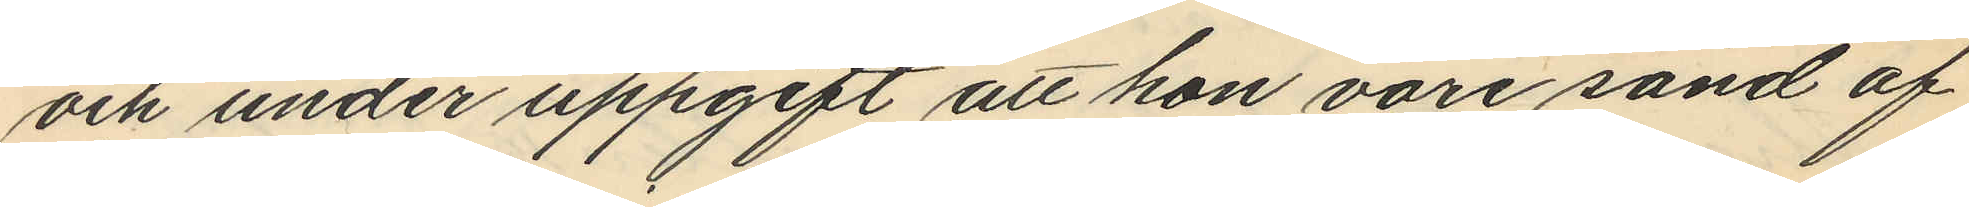och under uppgift att hon vore sänd af
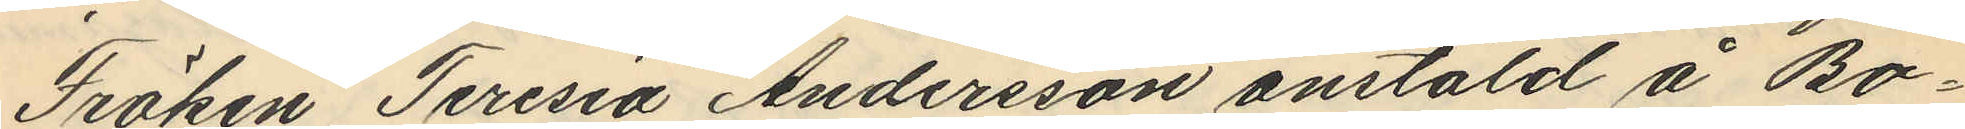Fröken Teresia Andersson anstäld å Bo¬
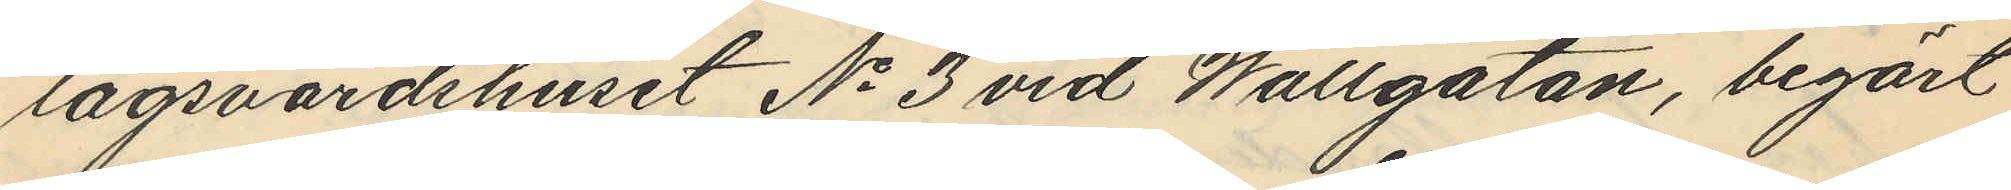lagsvärdshuset No 3 vid Wallgatan, begärt
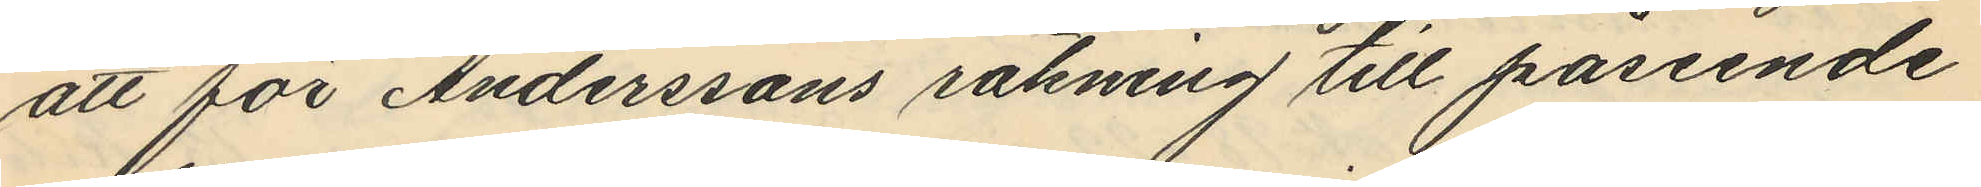att för Anderssons räkning till påseende
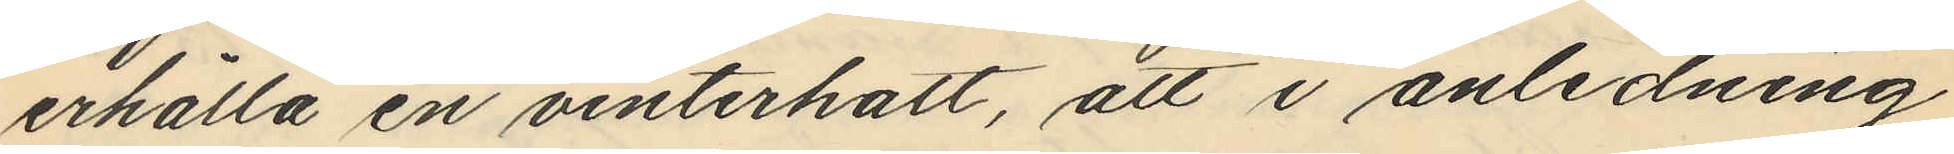erhålla en vinterhatt, att i anledning
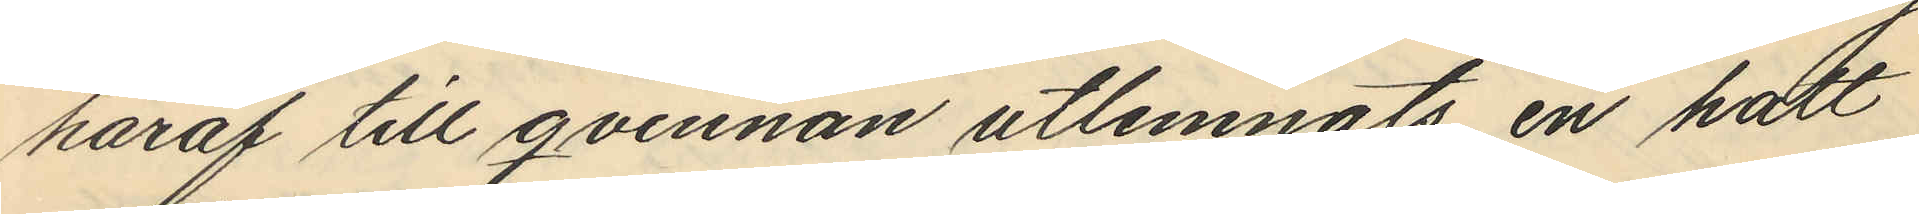häraf till qvinnan utlemnats en hatt
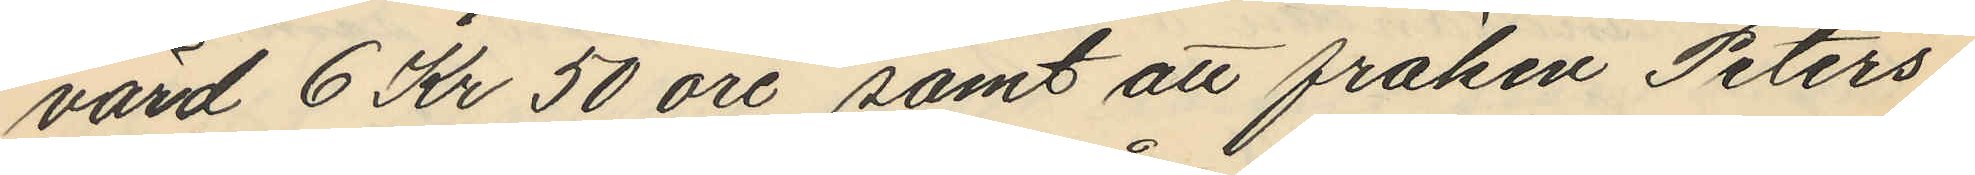värd 6 Kr 50 öre, samt att fröken Peters¬
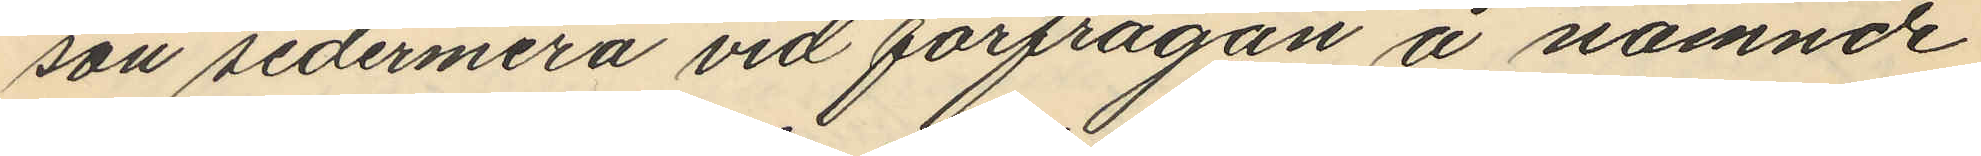son sedermera vid förfrågan å nämnde
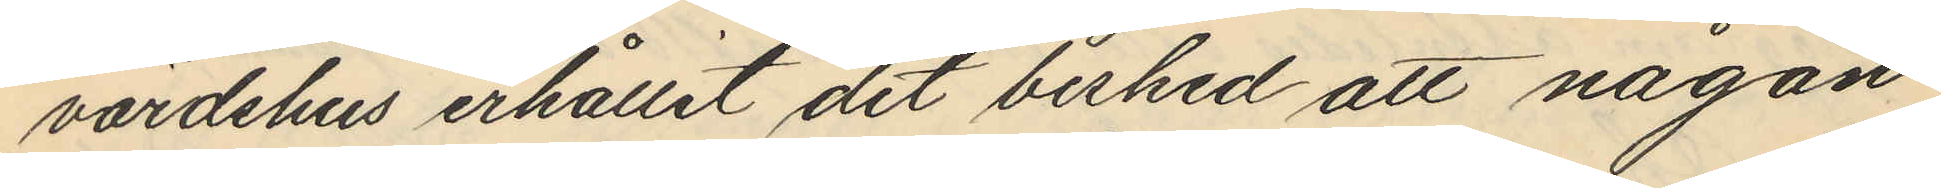värdshus erhållit det besked att någon
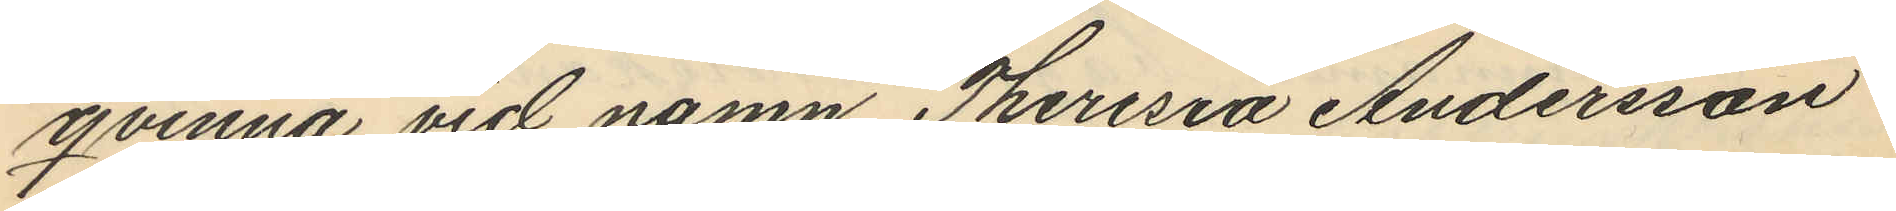qvinna vid namn Theresia Andersson
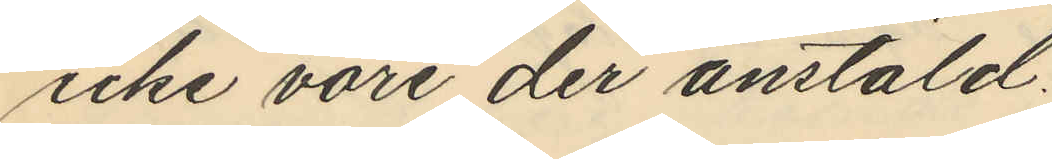icke vore der anstäld.
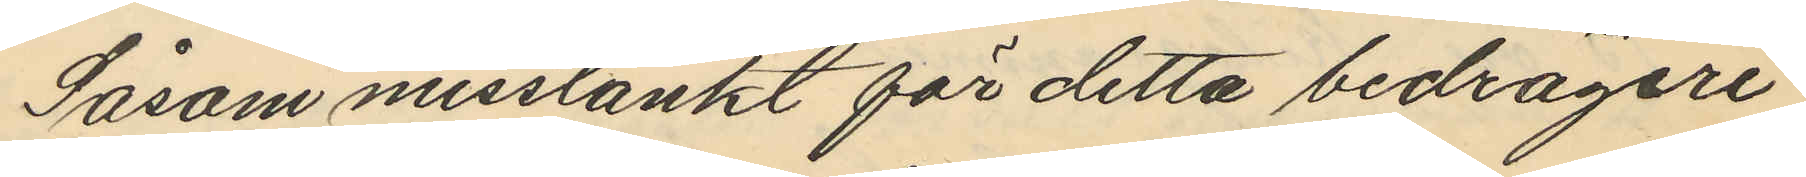Såsom misstänkt för detta bedrägeri
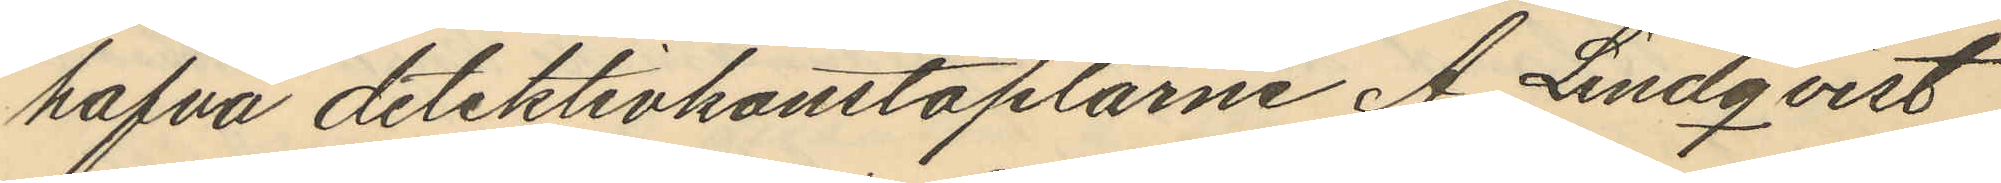hafva detektivkonstaplarne A. Lindqvist
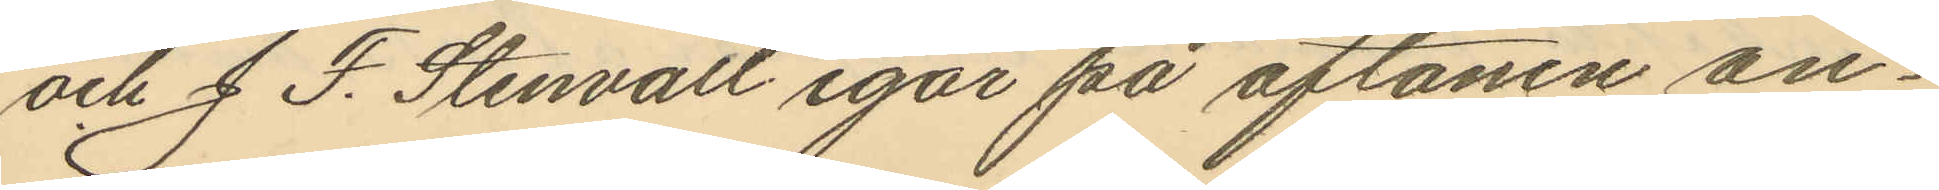och J. F. Stenvall igår på aftonen an¬
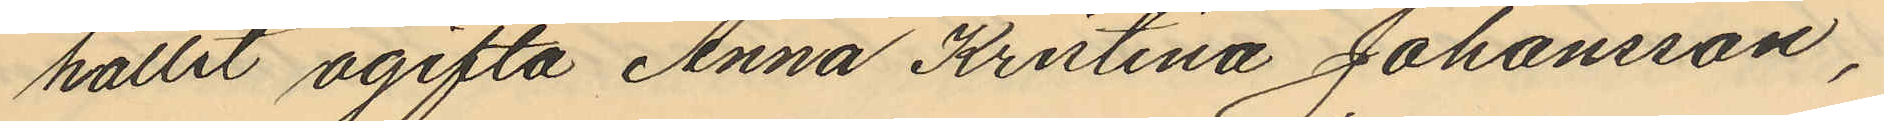hållit ogifta Anna Kristina Johansson,
